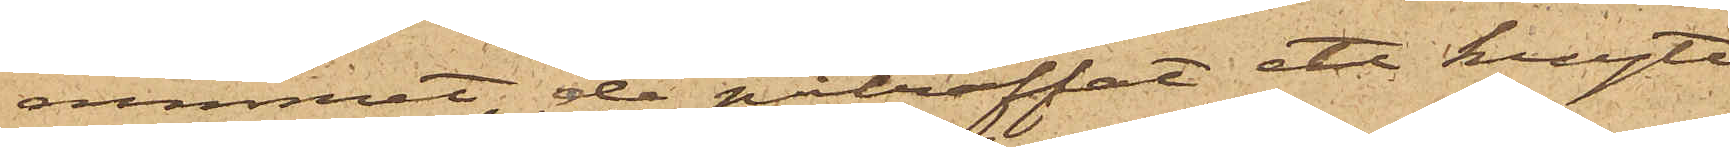rummet, de påträffat ett knyte
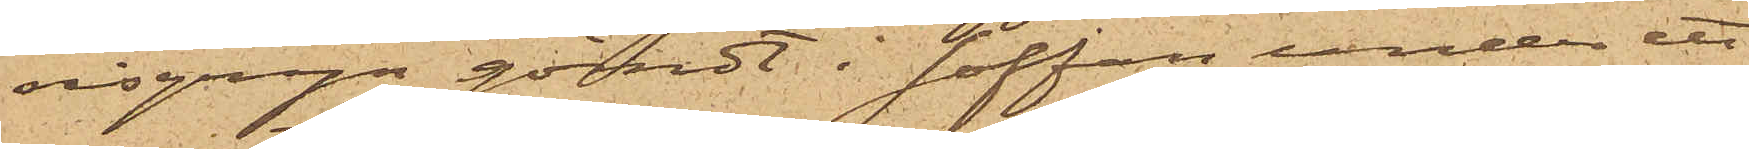risgryn gömdt i soffan under ett
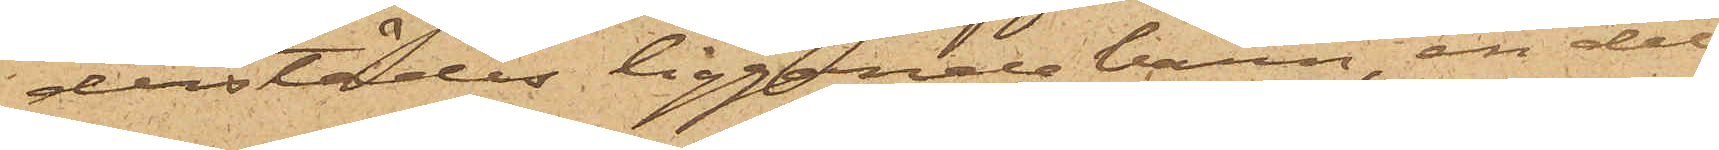derstädes liggande barn, en del
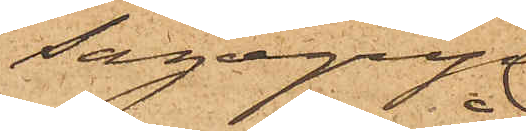sagogryn
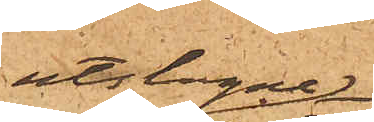utslagne
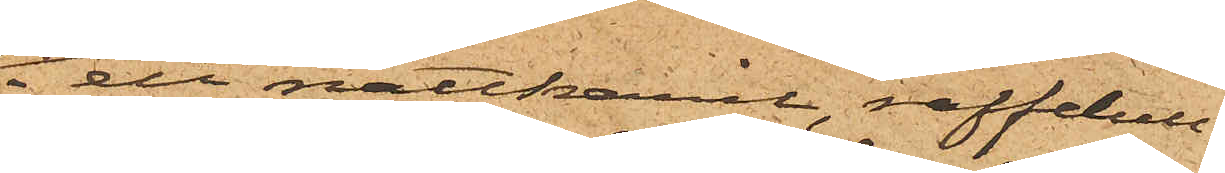i ett nattkaril, raffelull
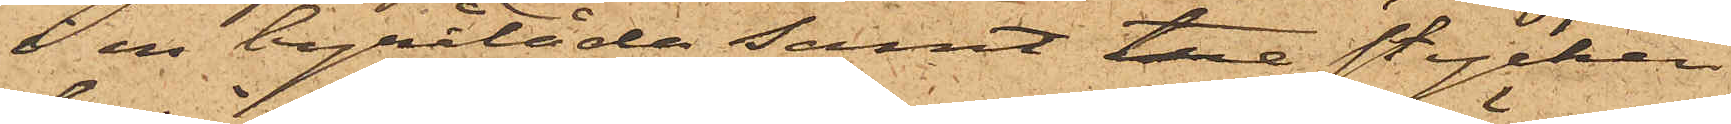i en byrålåda samt tre stycken
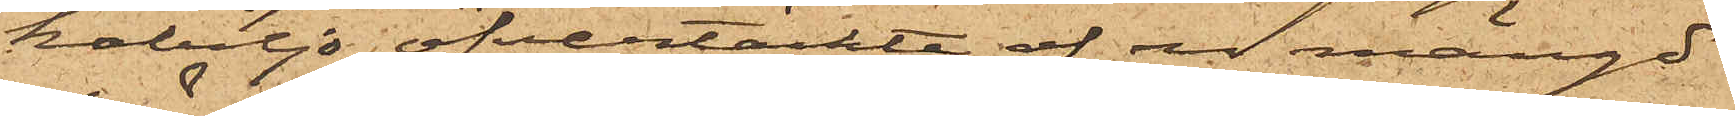kabiljo öfvertäckte af en mängd
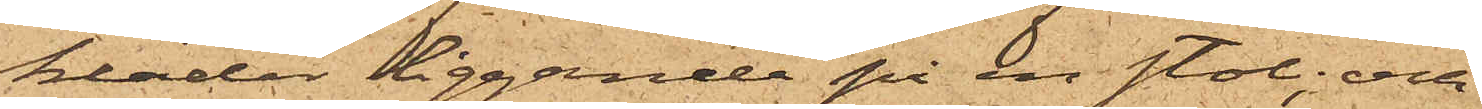kläder liggande på en stol; och
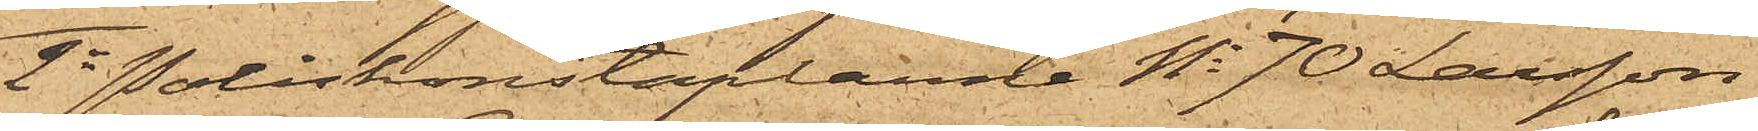2o Poliskonstaplarne No 70 Larsson
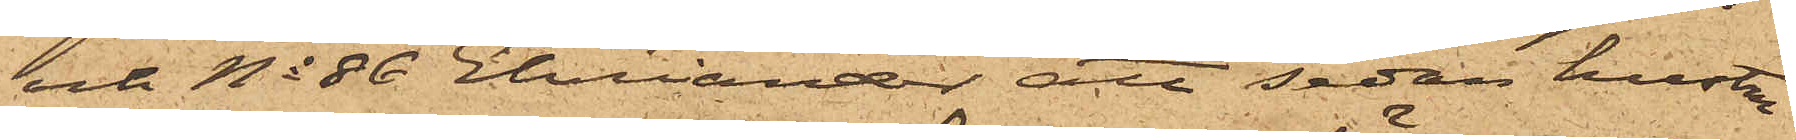och No 86 Ehriander att sedan hustru
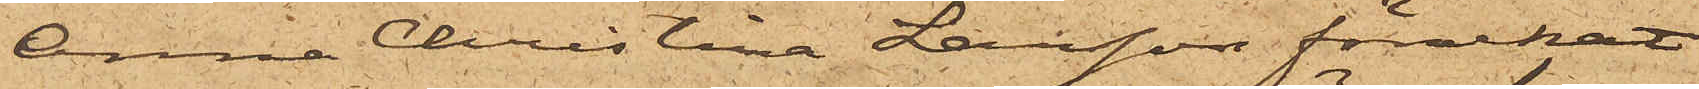Anna Christina Larsson förnekat
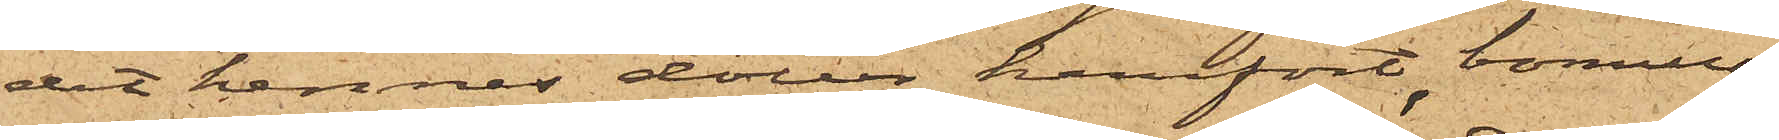det hennes dotter hemfört bomull
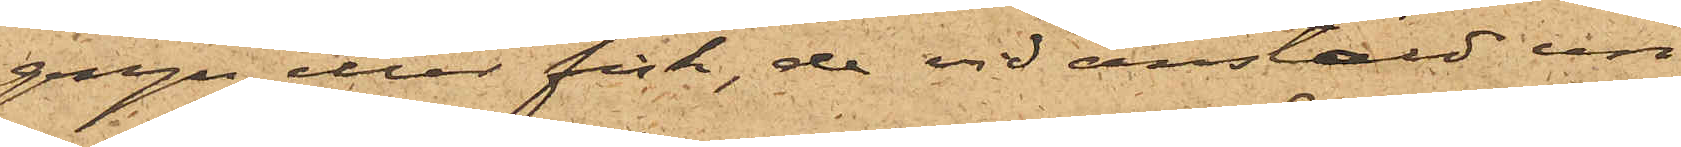gryn eller fisk, de vid anstäld un¬
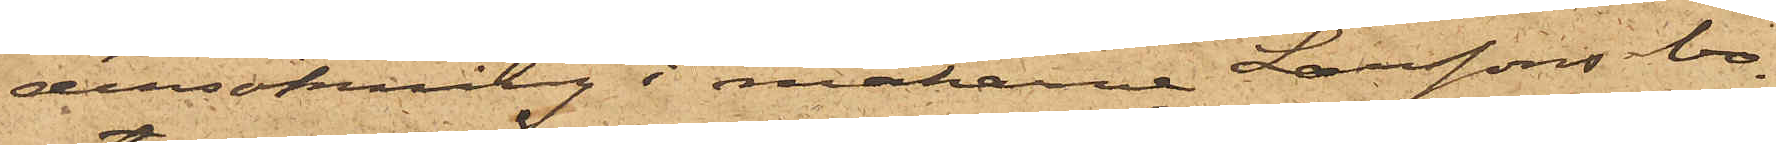dersökning i makarne Larssons bo¬
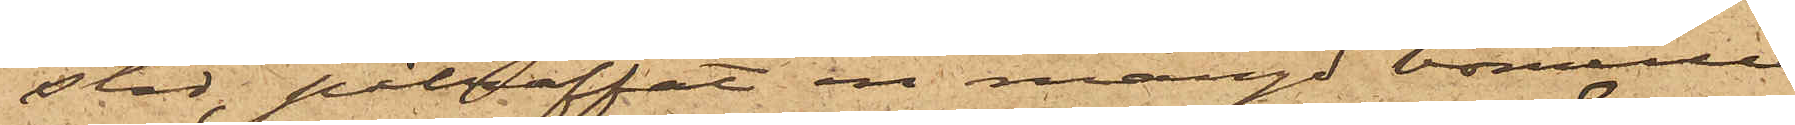stad, påträffat en mängd bomull
